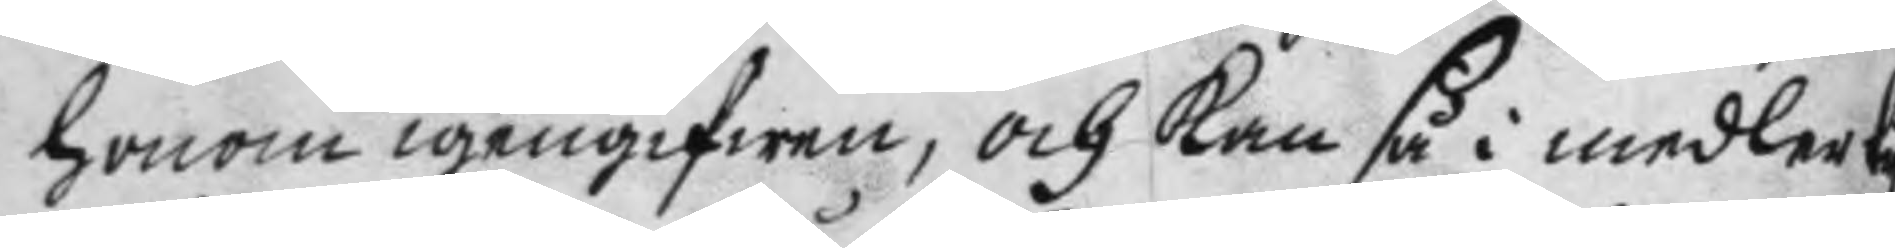honom igengifwen, och kan så i medler ty
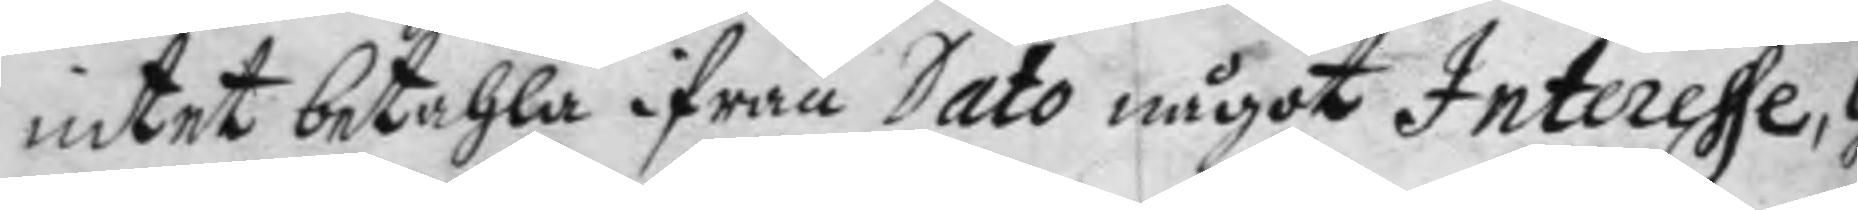intet betahla ifrån Dato något Intresse, h¬
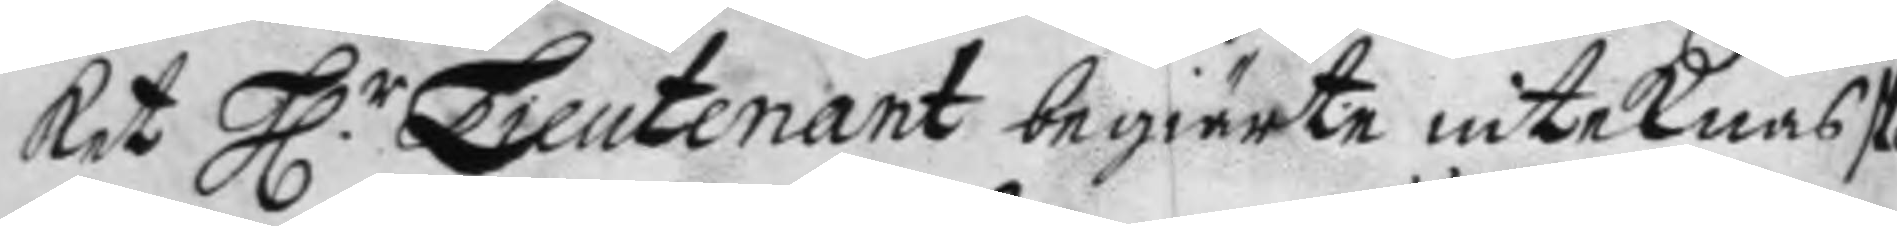ket H.r Lieutenant begiärte inteknas sk
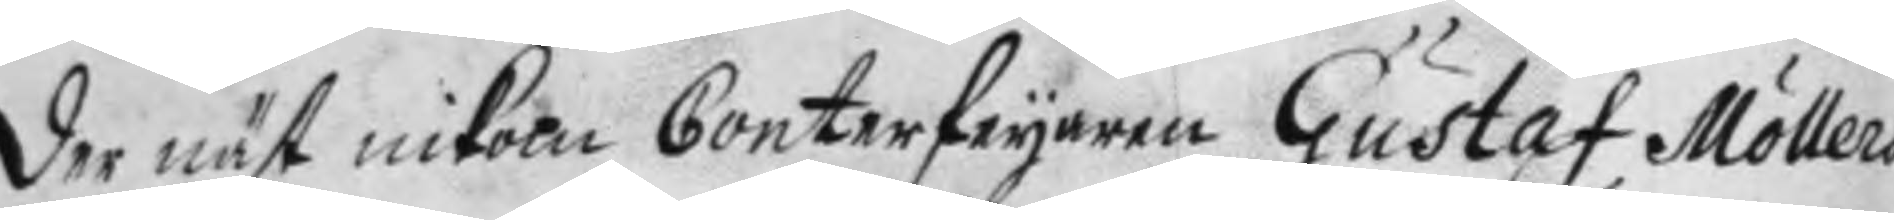der näst inkom Conerfeyaren Gustaf Möllers
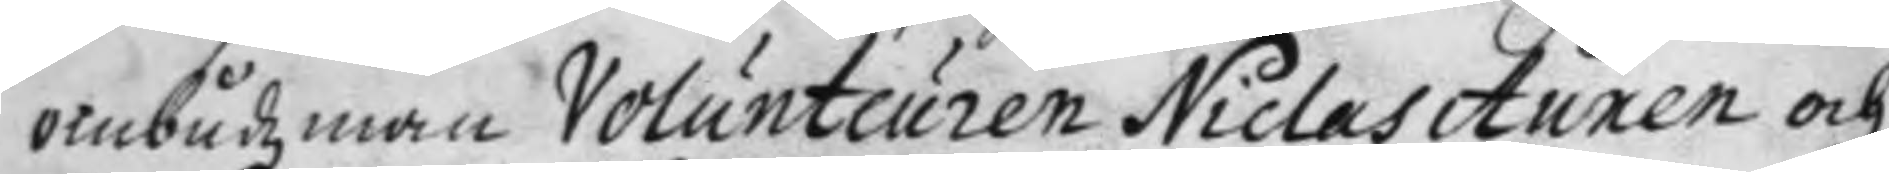ombudzman Volunteuren Niclas Auxen och
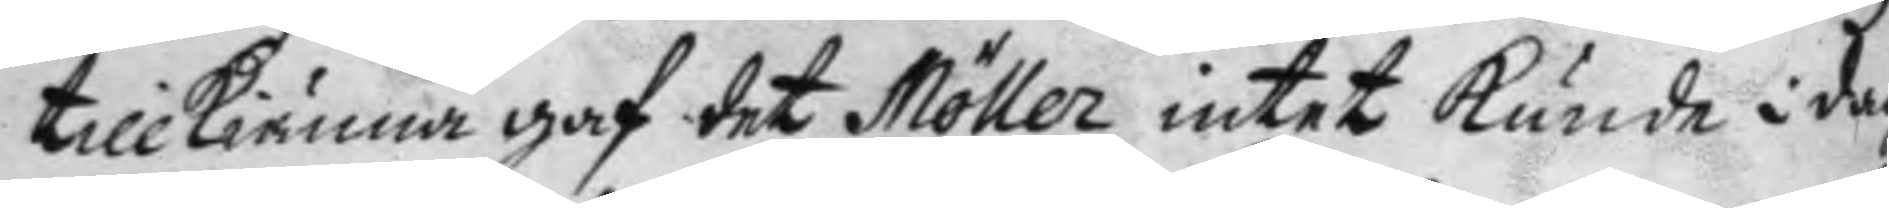till kiänna gaf det Möller intet kunde idag
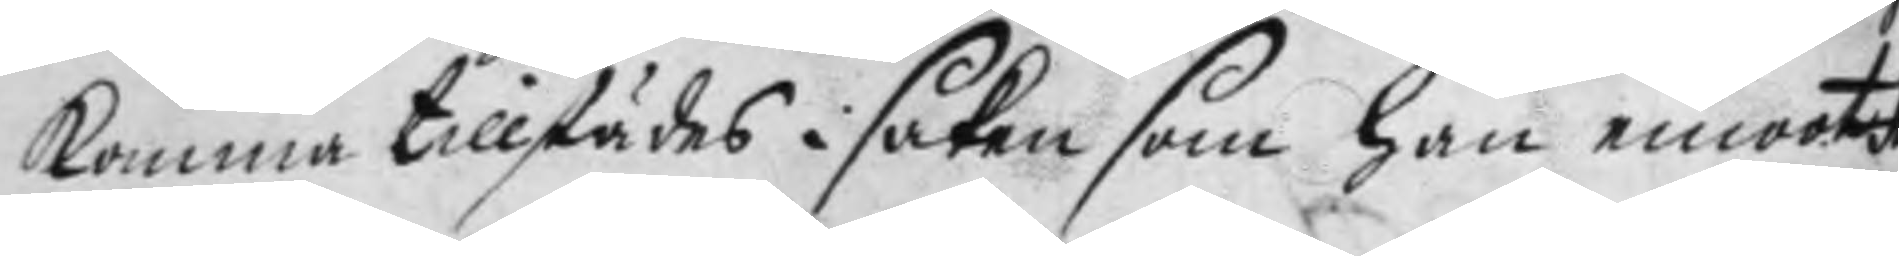komma tillstädes i saken som han emoot A¬
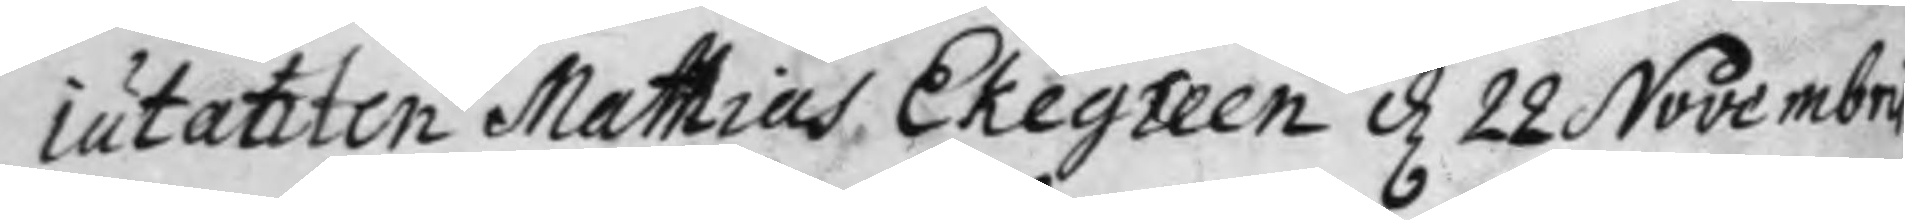iutatiten Mattias Ekegreen d 22 Novembris
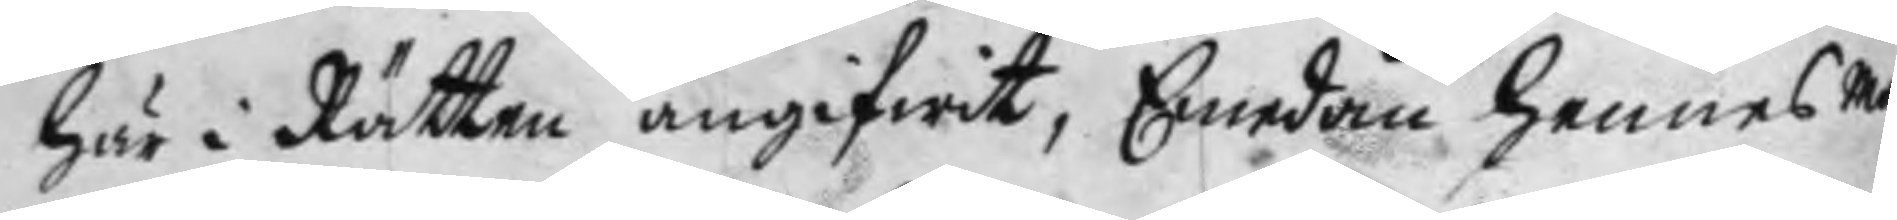här i Rätten angifwit, Emedan hennes May
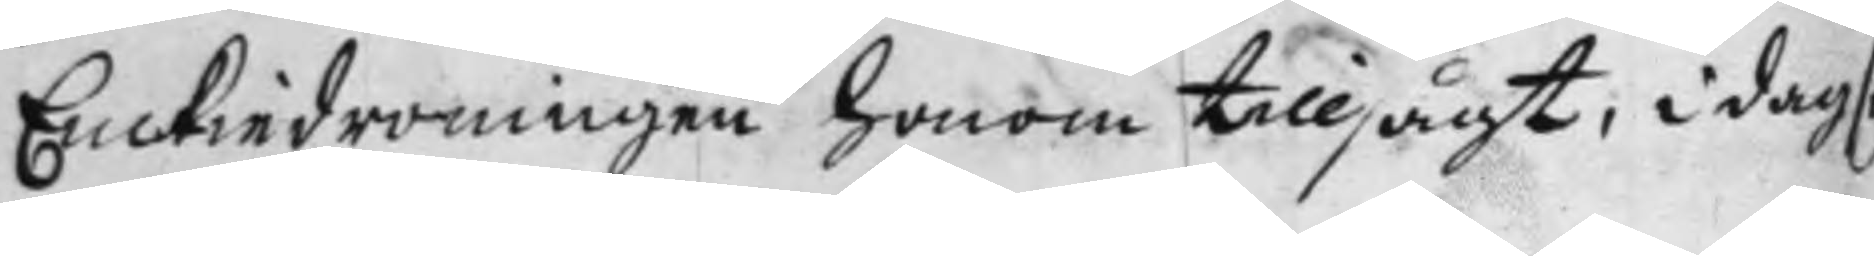Enckiedronningen honom tillsågt, idag sig
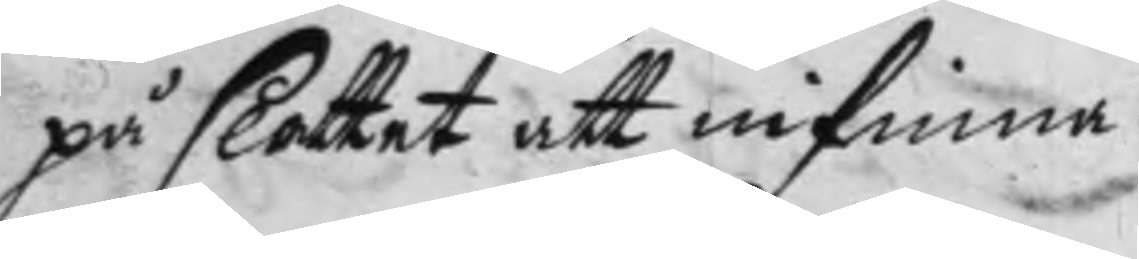på slåttet att infinna.
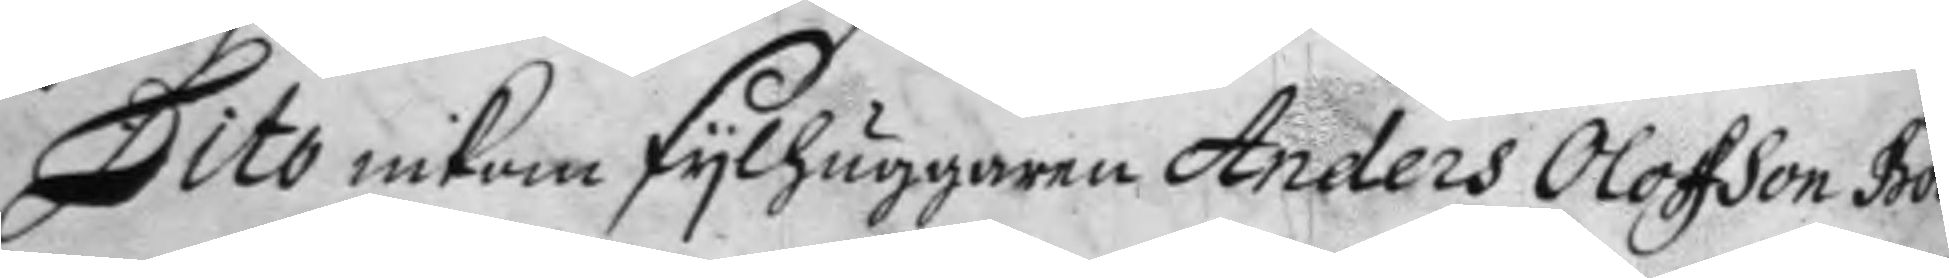Dito inkom fylhuggaren Anders Oloffson Böös
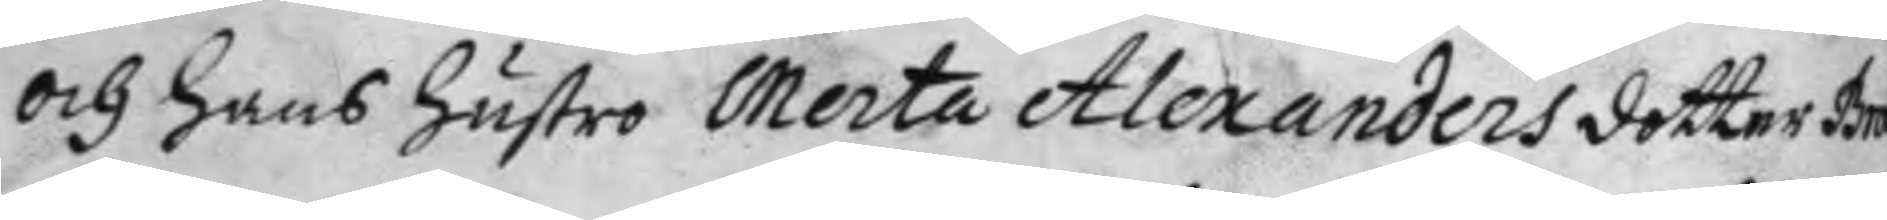och hans hustro Merta Alexanders dotter Be¬
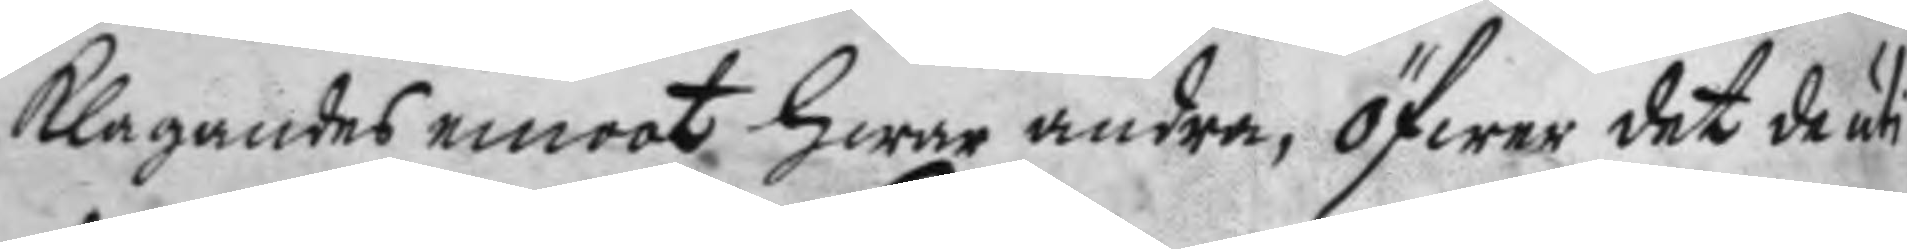klagandes emoot hwar andra, öfwer det de uti
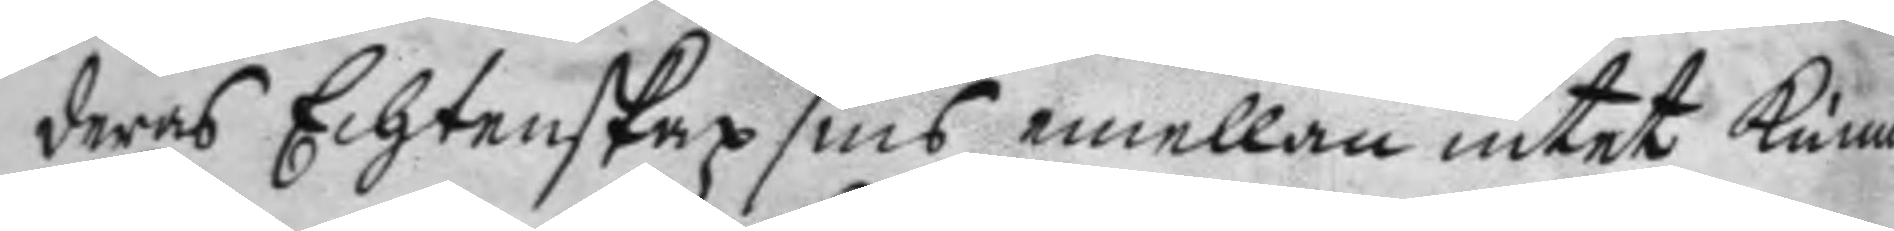deras Echtenskap sins emellan intet kunna
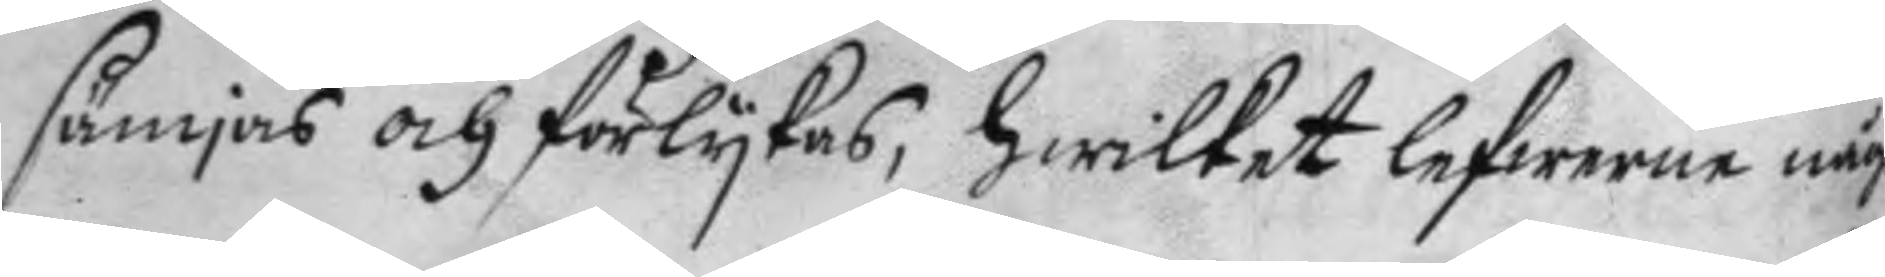sämjas och förlykas, hwilket lefwerne någr
